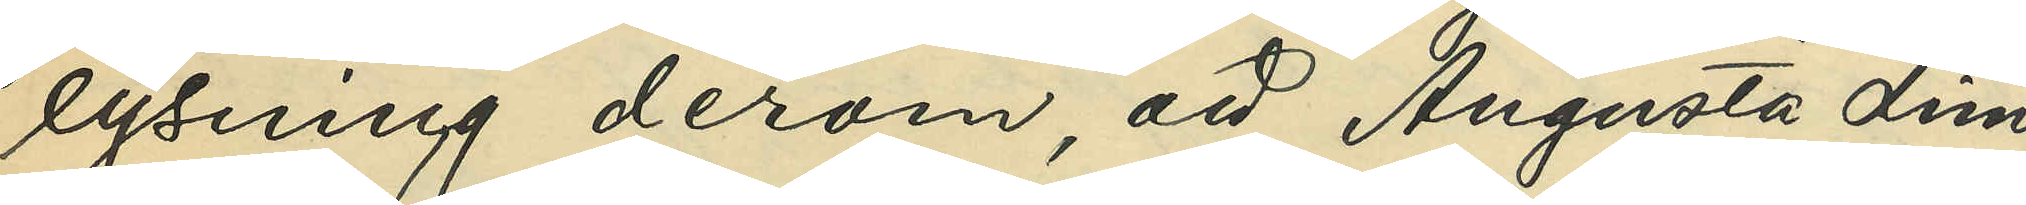lysning derom, att Augusta Lind¬
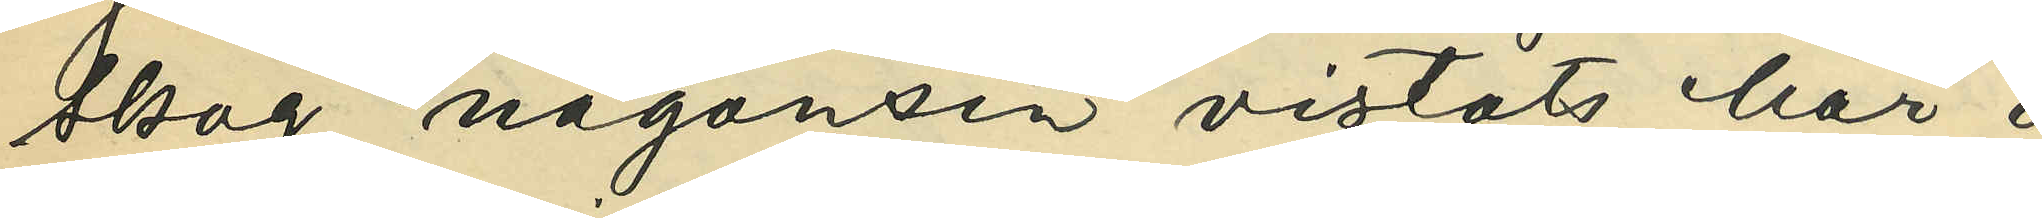skog någonsin vistats här i
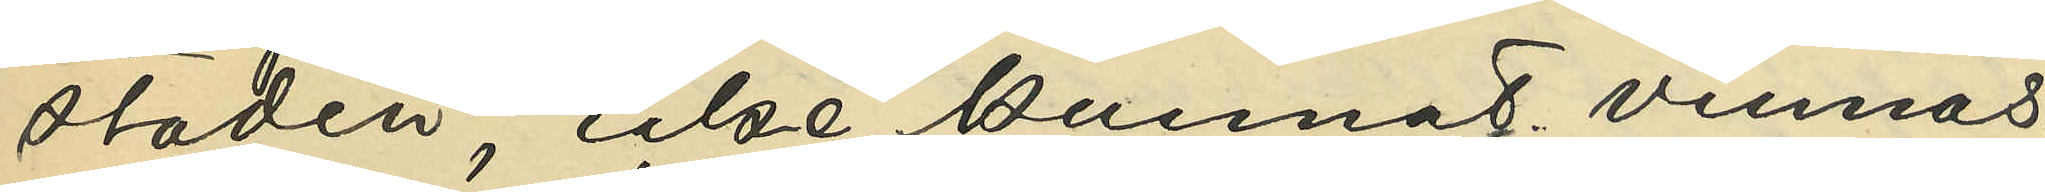staden, icke kunnat vinnas.
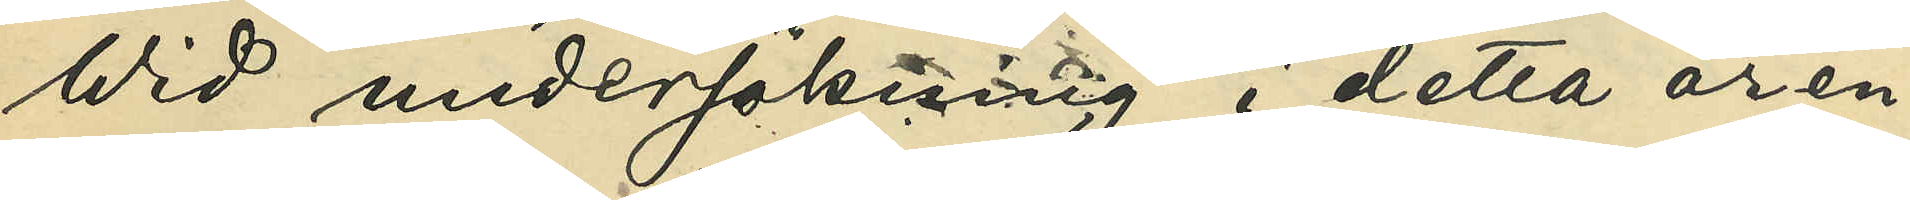Wid undersökning i detta ären¬
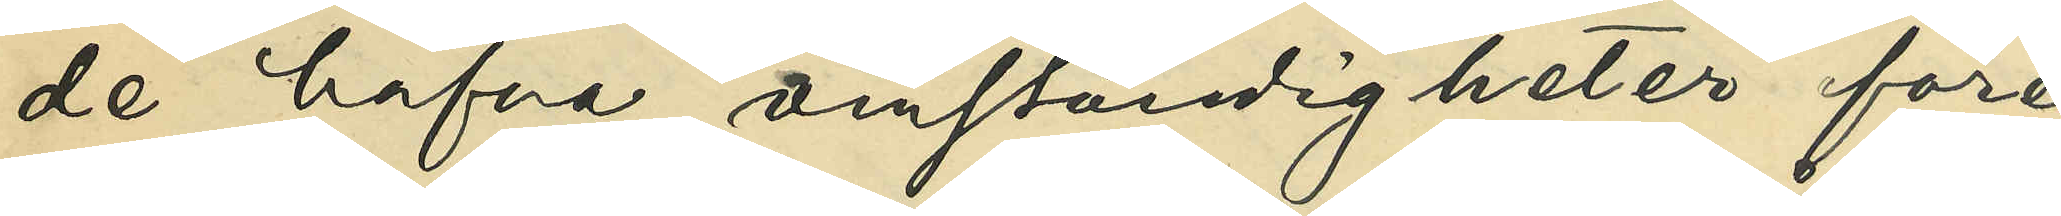de hafva omständigheter före¬
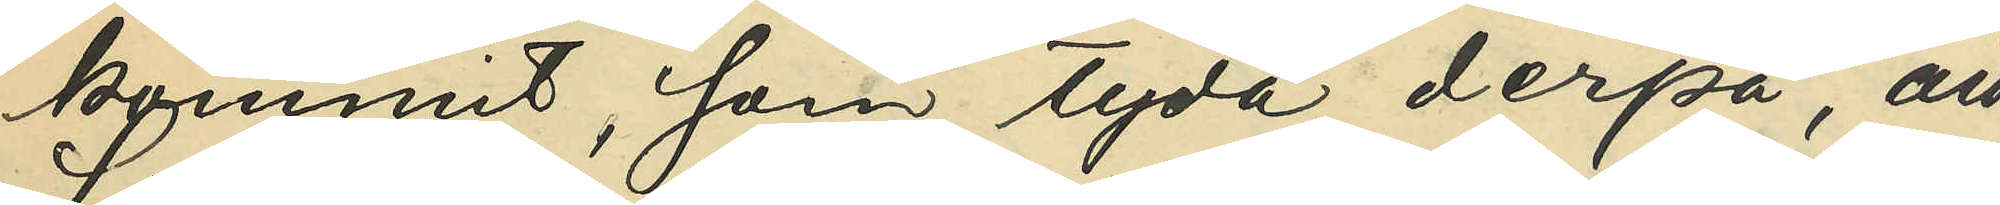kommit, som tyda derpå, att
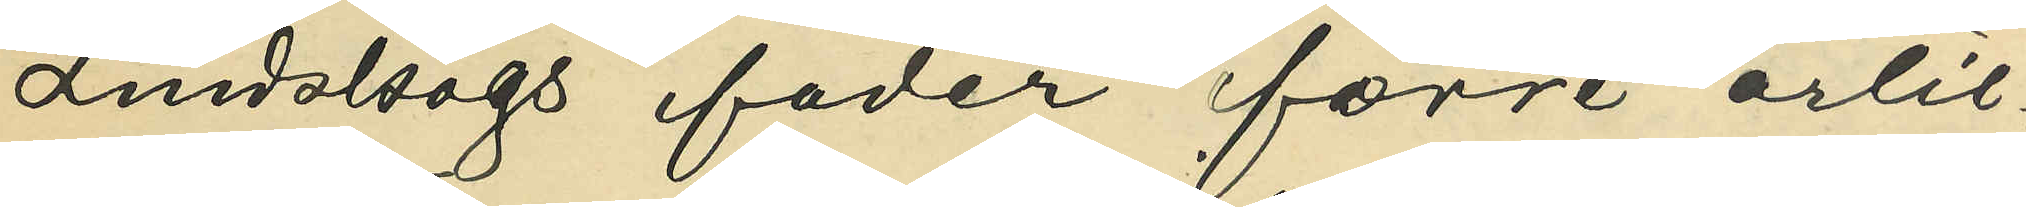Lindskogs fader förre artil¬
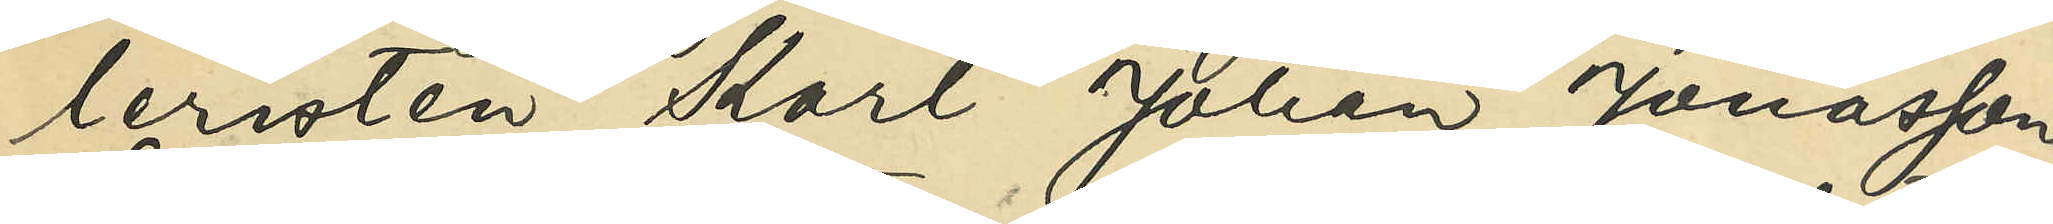leristen Karl Johan Jonasson
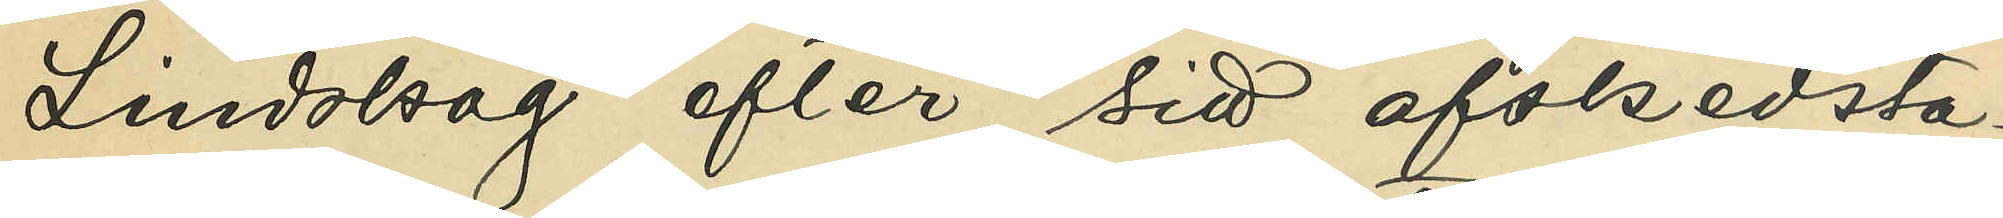Lindskog efter sitt afskedsta¬
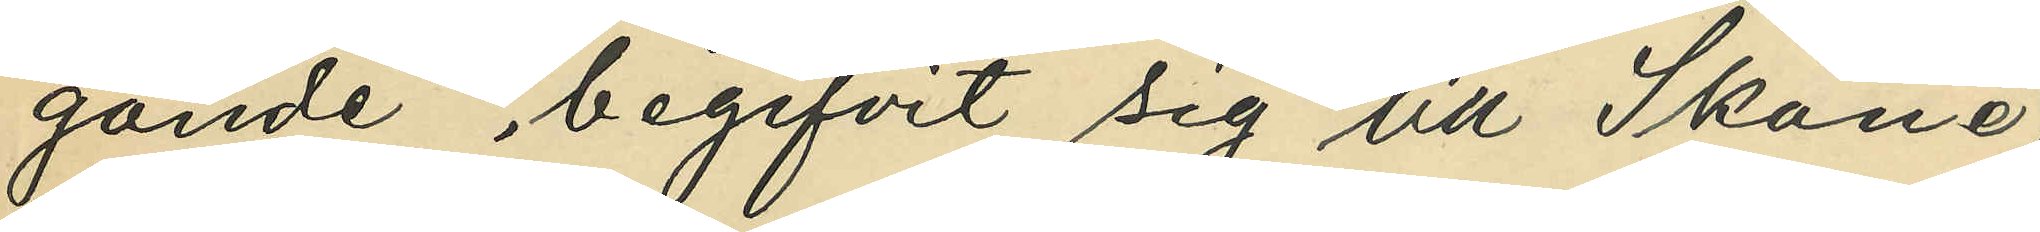gande begifvit sig till Skåne,
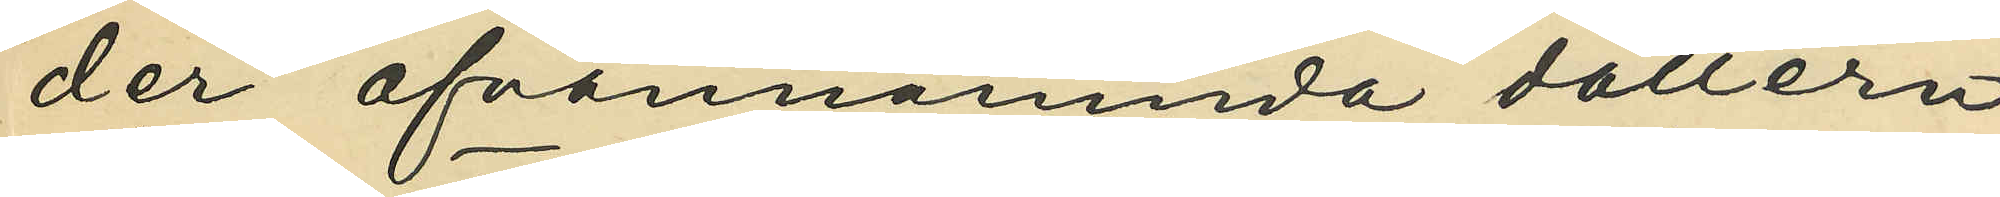der ofvannämnda dottern
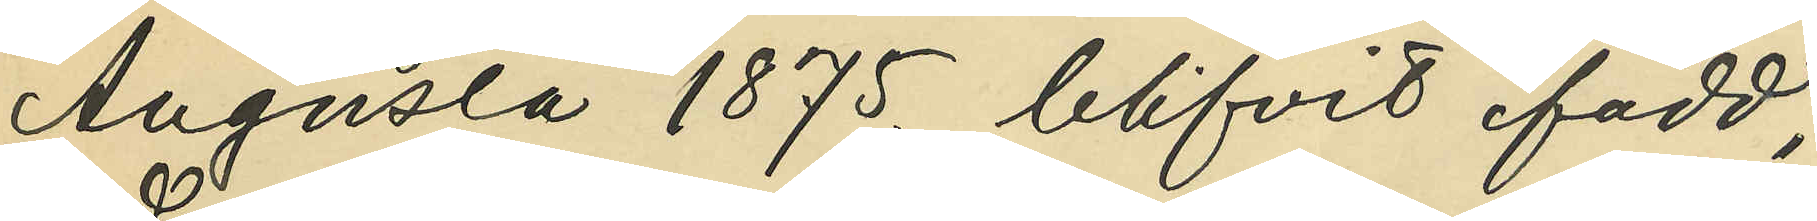Augusta 1875 blifvit född;
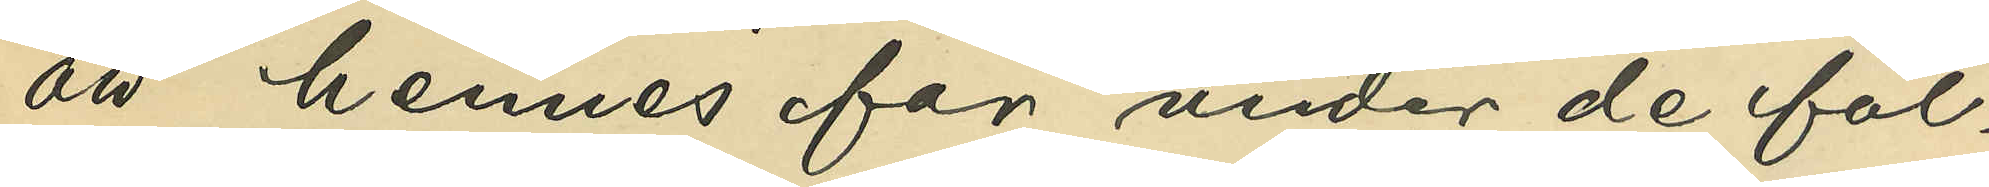att hennes far under de föl¬
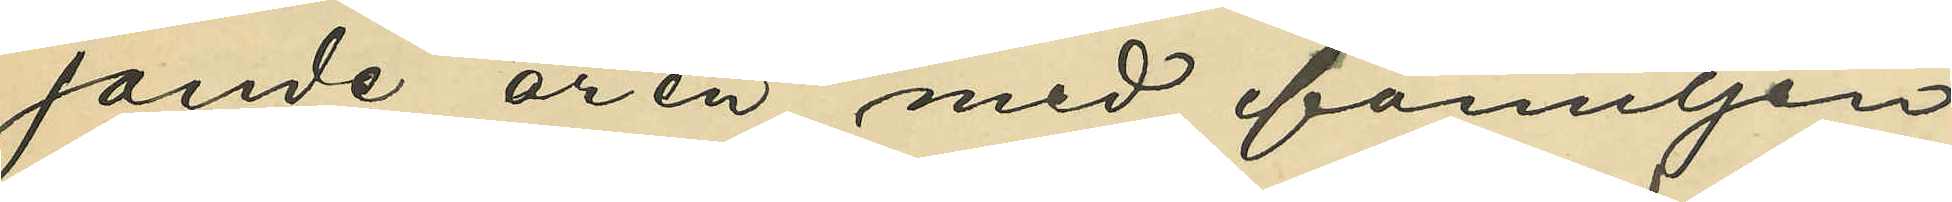jande åren med familjen
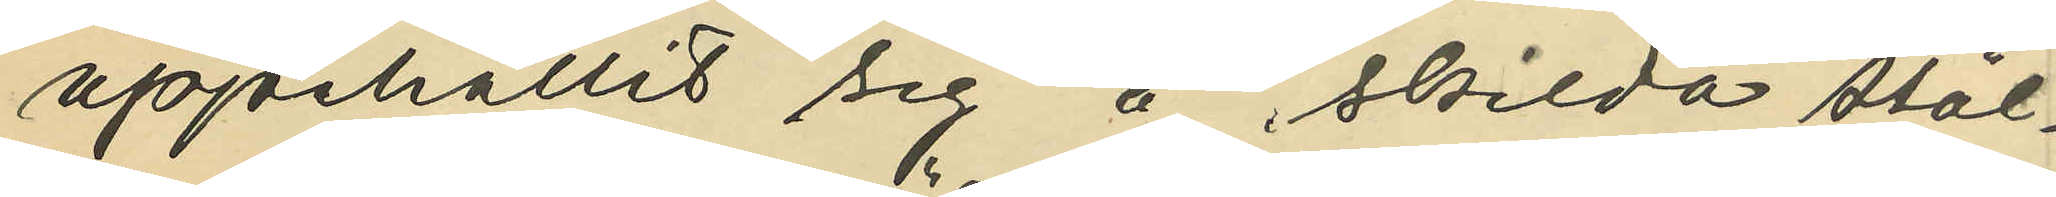uppehållit sig å skilda stäl¬
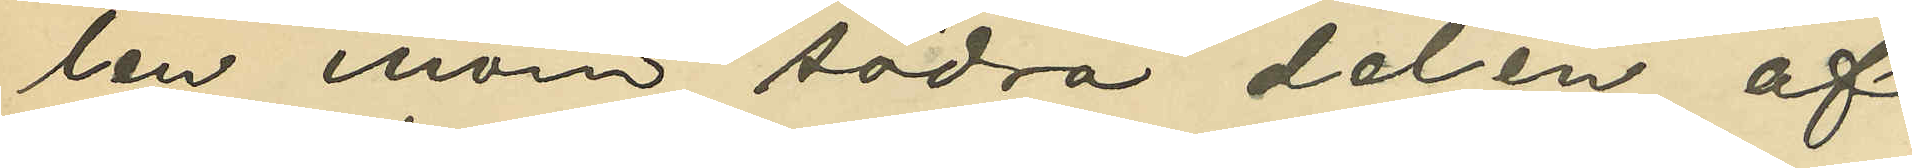len inom södra delen af
